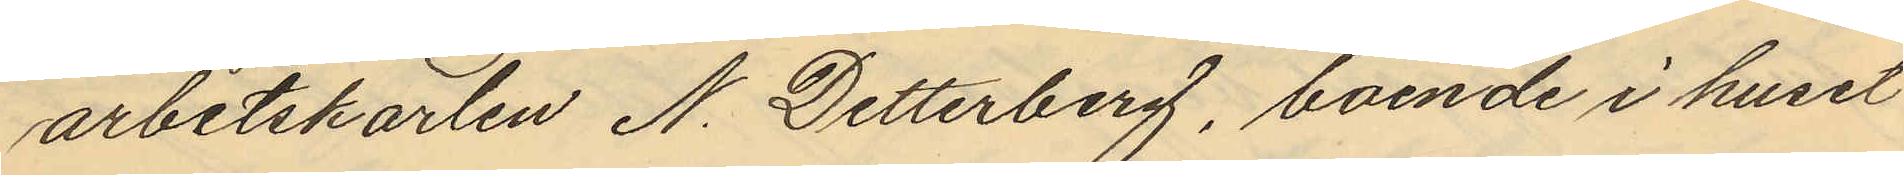arbetskarlen N. Detterberg, boende i huset
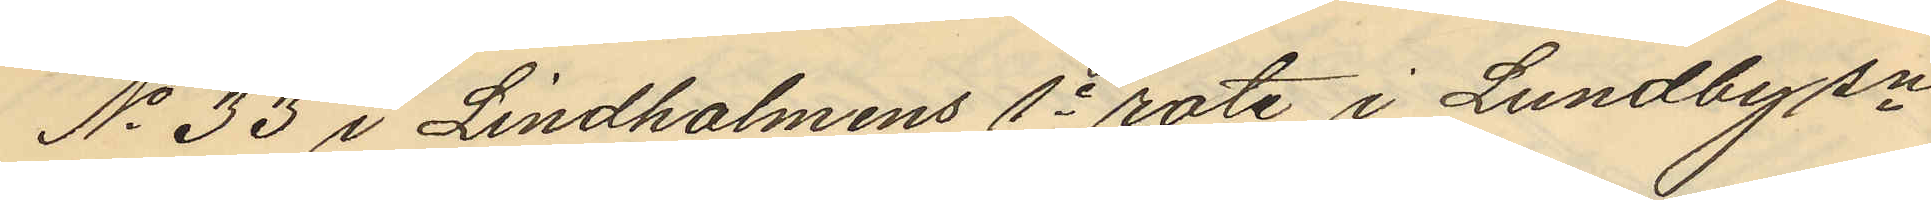No 33 i Lindholmens 1e rote i Lundby sn
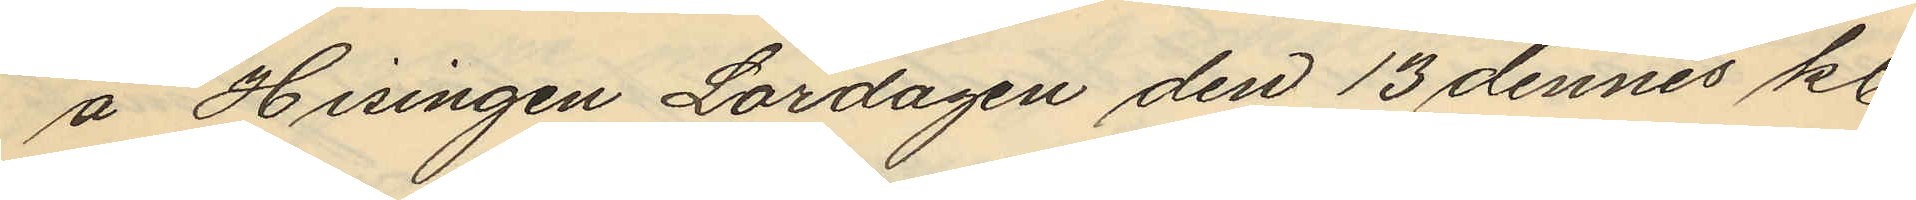å Hisingen Lördagen den 13 dennes kl.
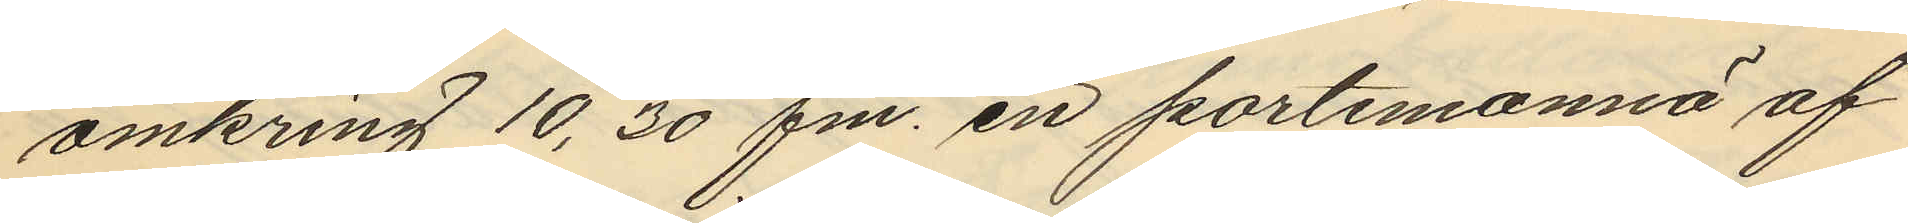omkring 10,30 fm. en portmonnä af
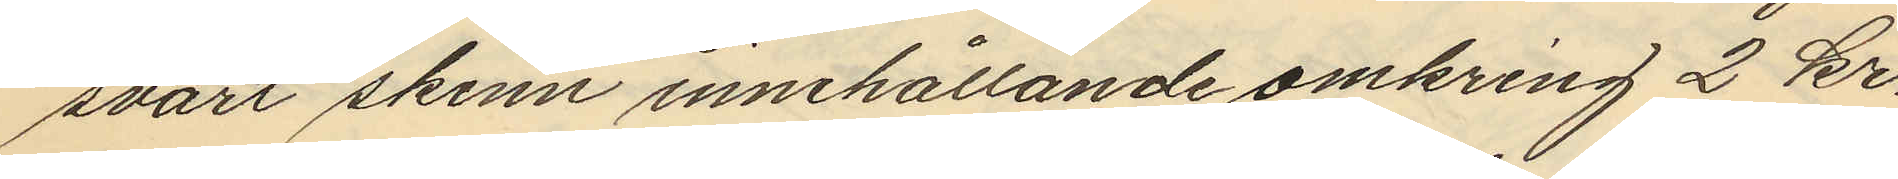svart skinn innehållande omkring 2 kr.
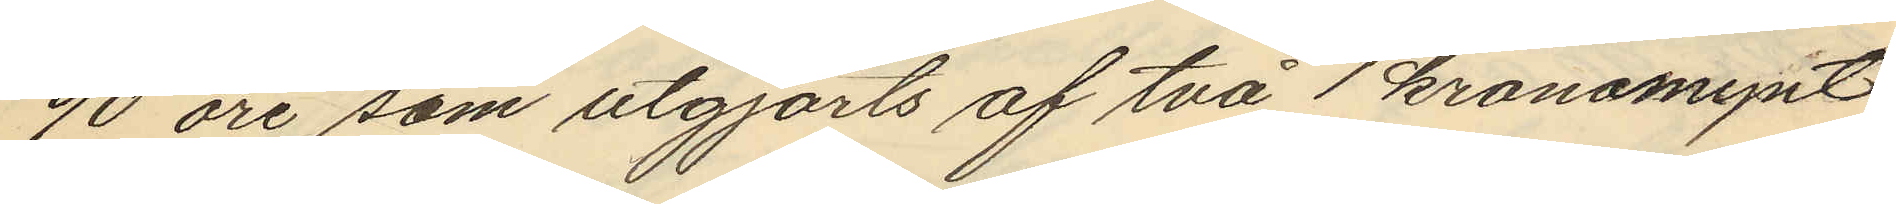90 öre som utgjorts af två 1 kronomynt
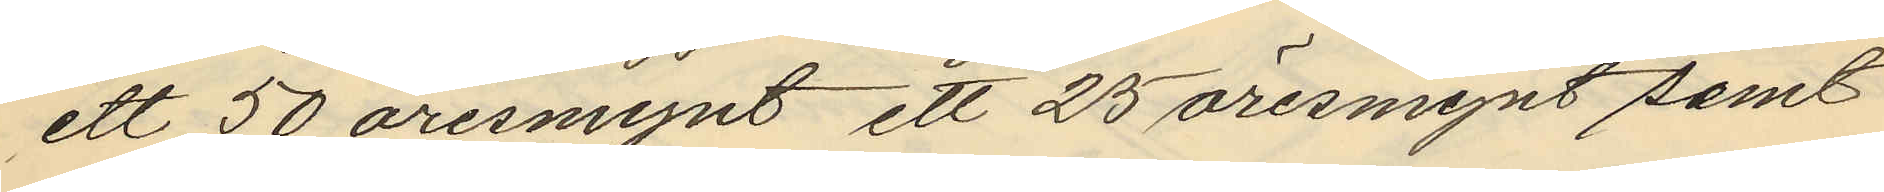ett 50 öresmynt ett 25 öresmynt samt
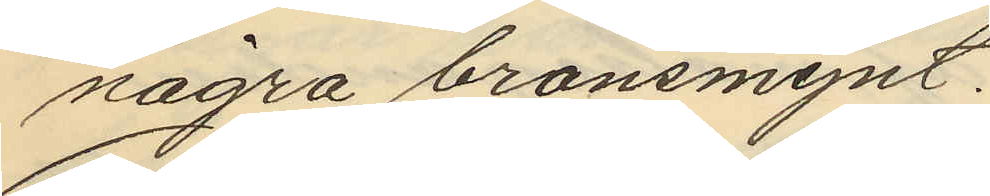några bronsmynt.
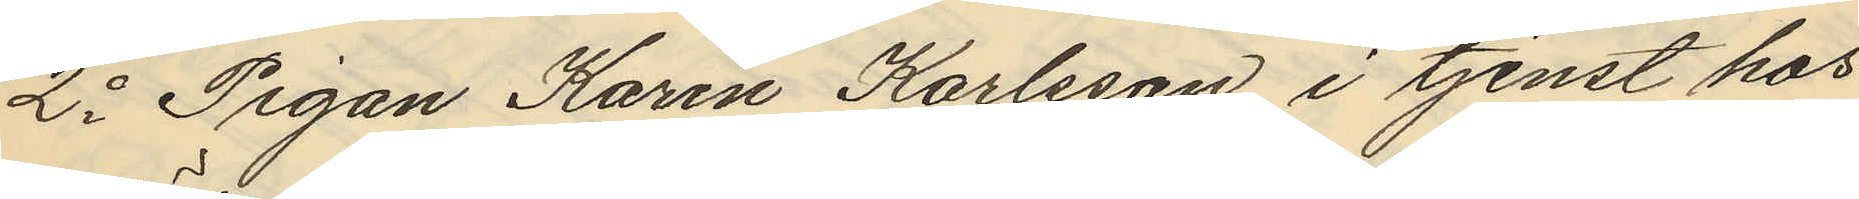2o Pigan Karin Karlsson i tjenst hos
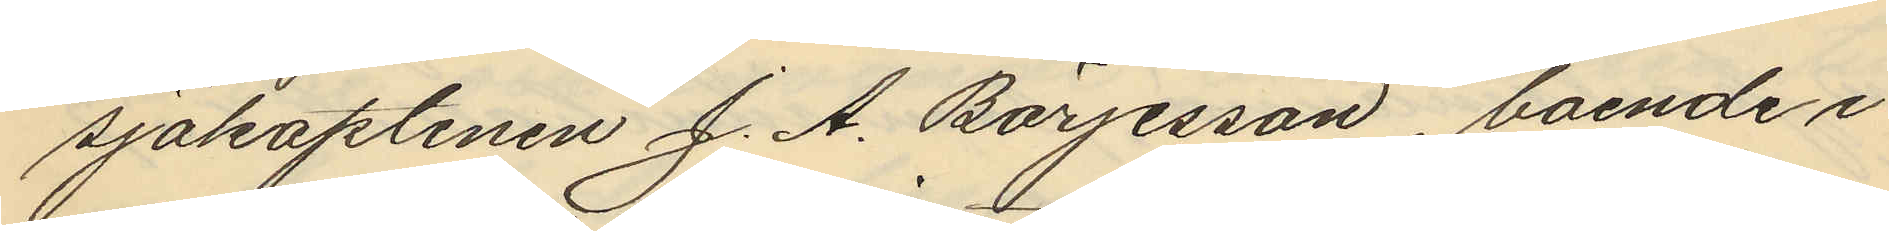sjökaptenen J. A. Börjesson, boende i
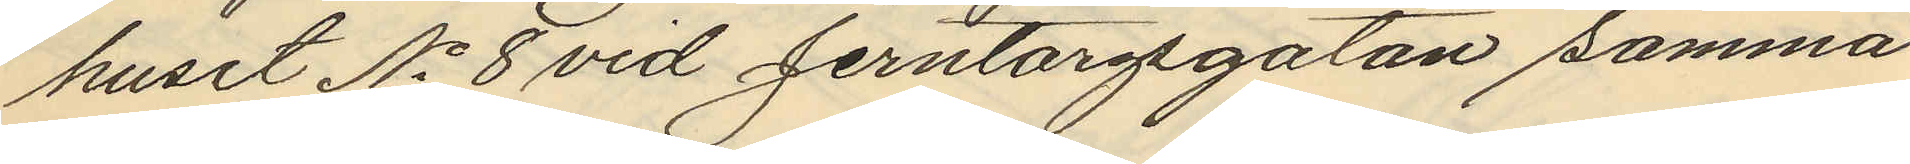huset No 8 vid Jerntorgsgatan samma
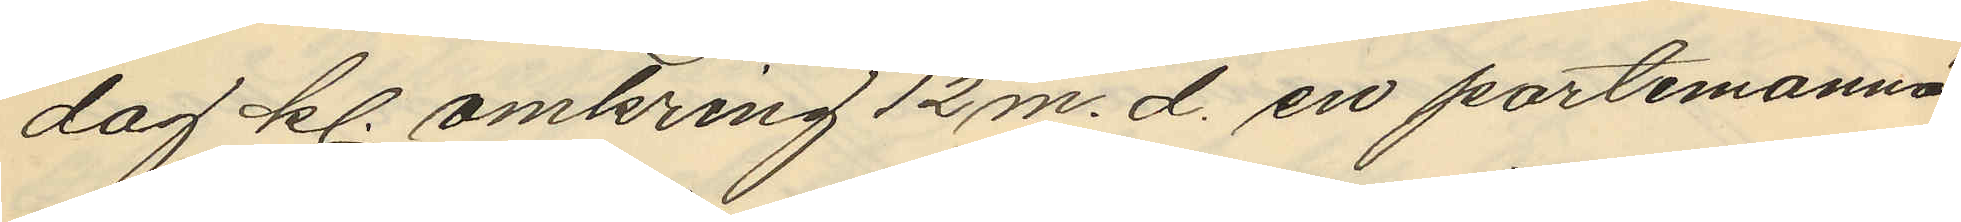dag kl. omkring 12 m.d. en portmonnä
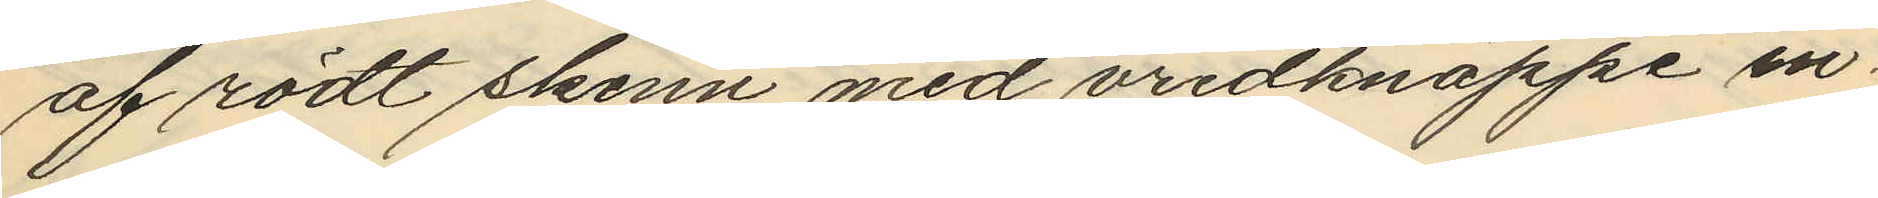af rödt skinn med vridknäppe in¬
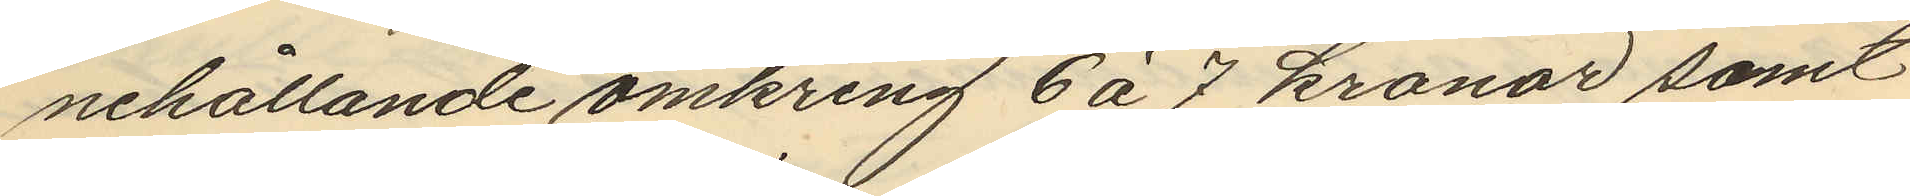nehållande omkring 6 à 7 kronor samt
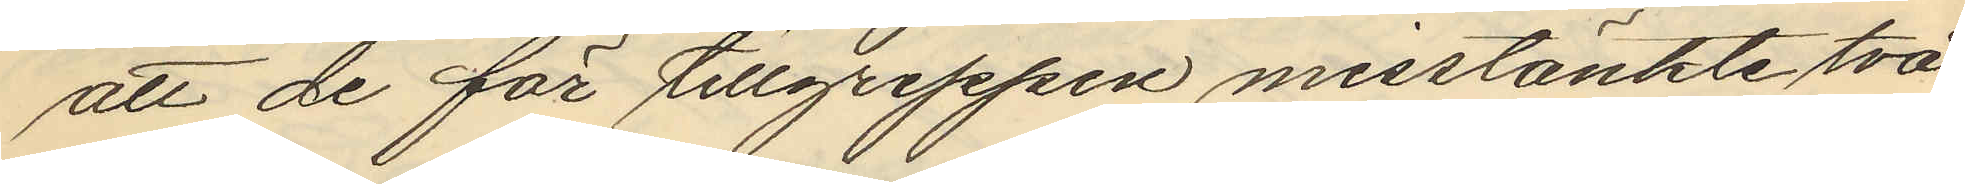att de för tillgreppen misstänkte två
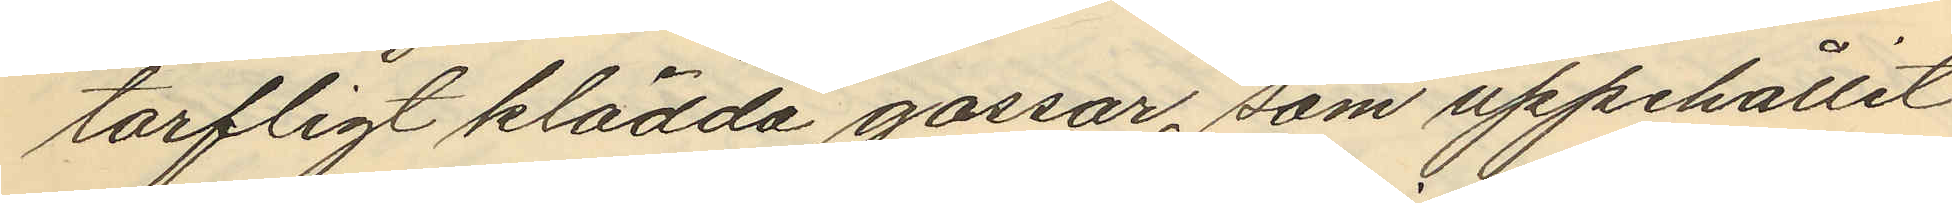tarfligt klädda gossar, som uppehållit
